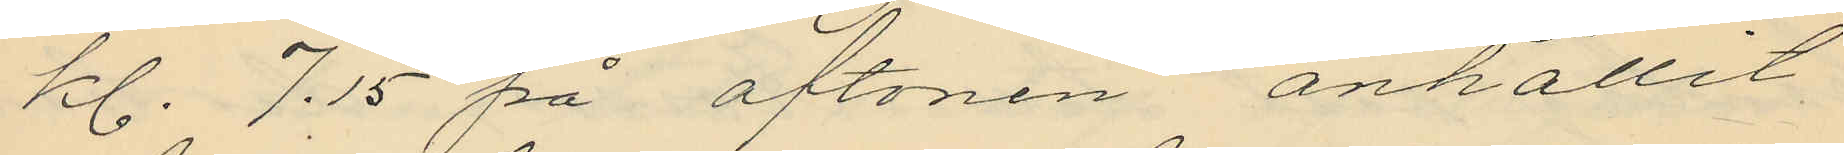kl. 7.15 på aftonen anhållit
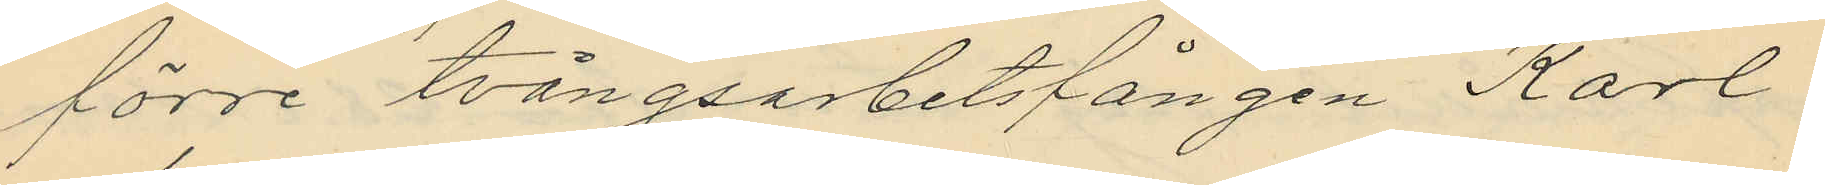förre tvångsarbetsfången Karl
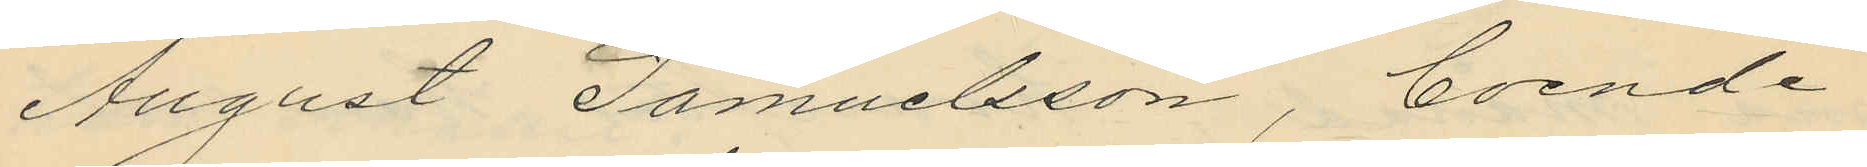August Samuelsson, boende
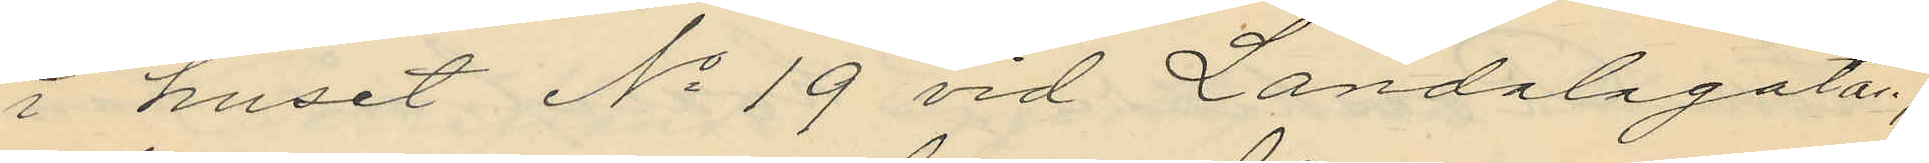i huset No 19 vid Landalagatan,
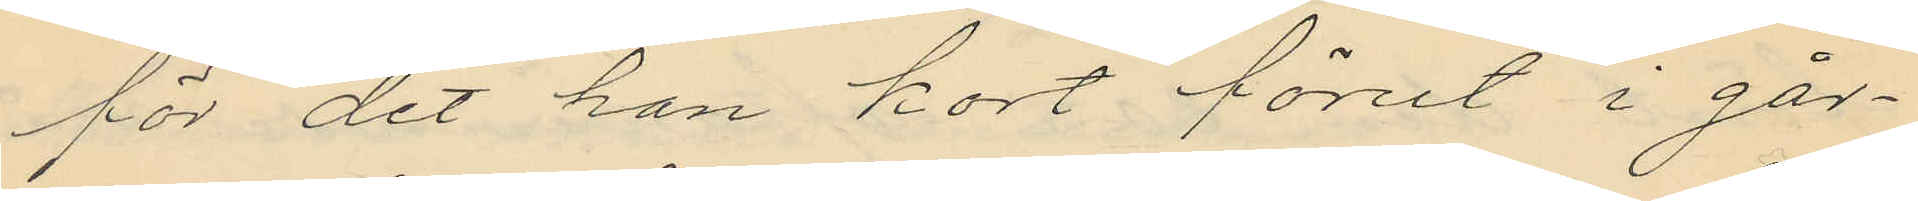för det han kort förut i går¬
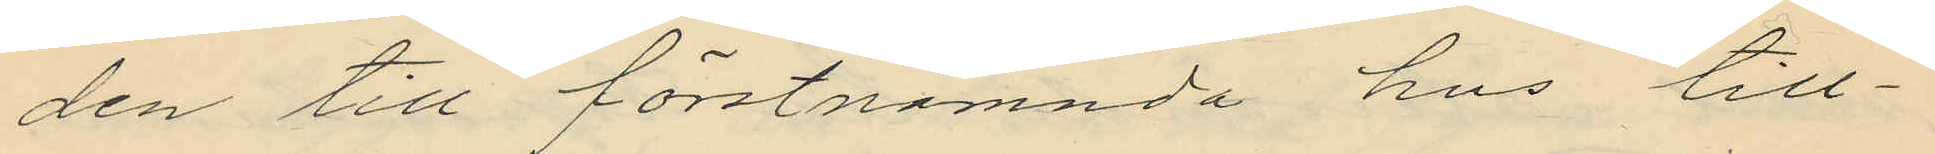den till förstnämnda hus till¬
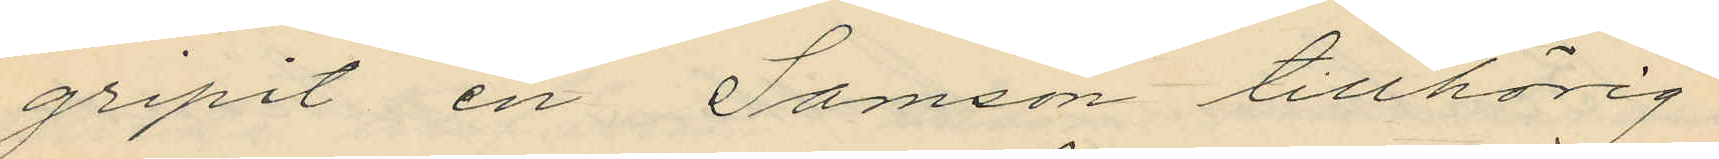gripit en Samson tillhörig
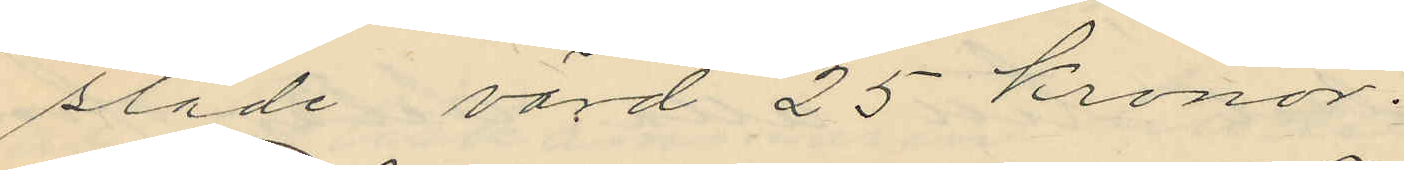släde värd 25 kronor.
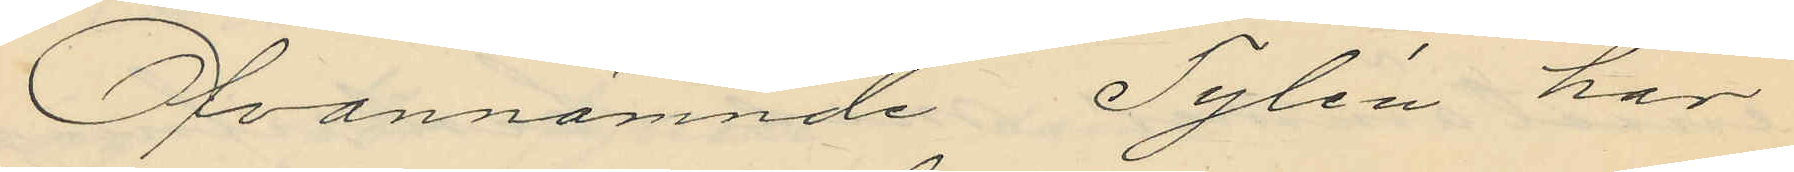Ofvannämnde Tylén har
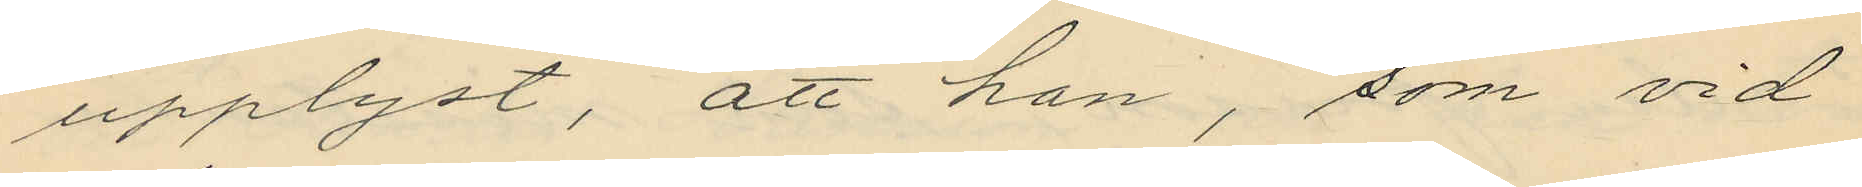upplyst, att han, som vid
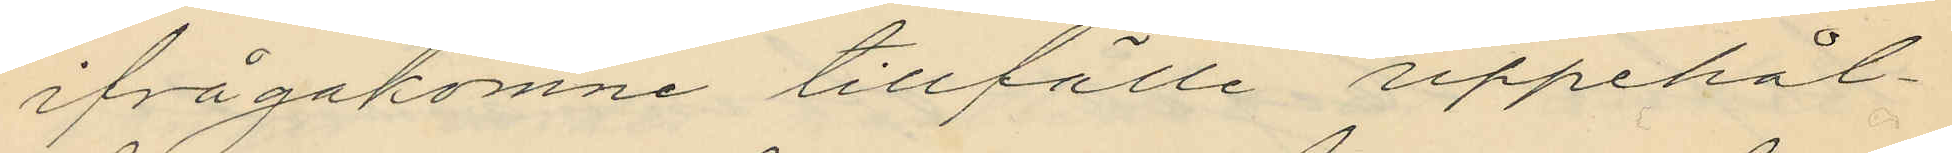ifrågakomne tillfälle uppehål¬
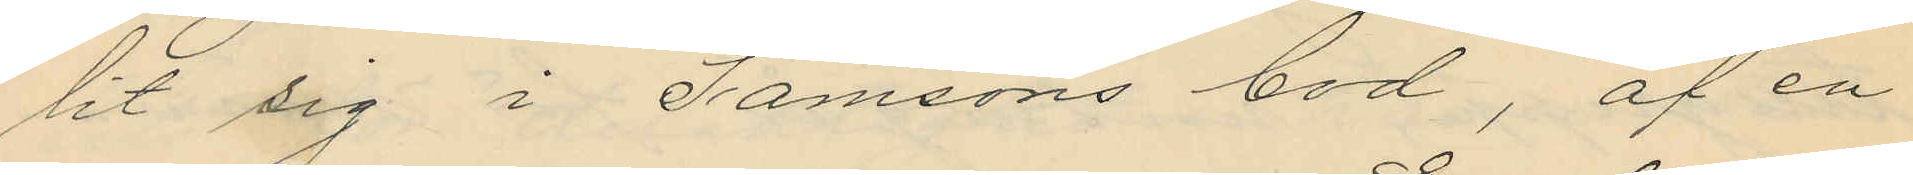lit sig i Samsons bod, af en
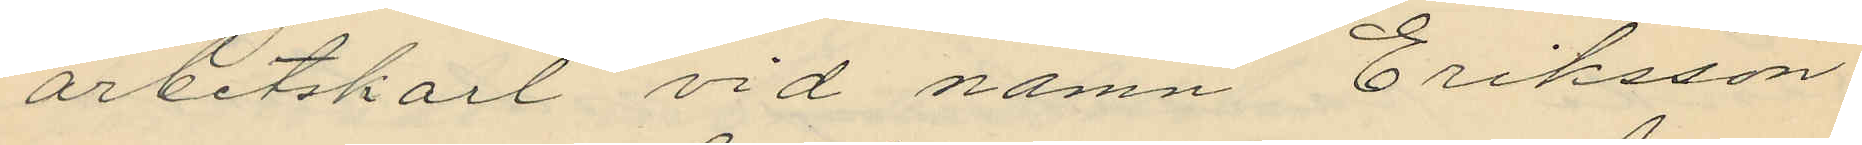arbetskarl vid namn Eriksson
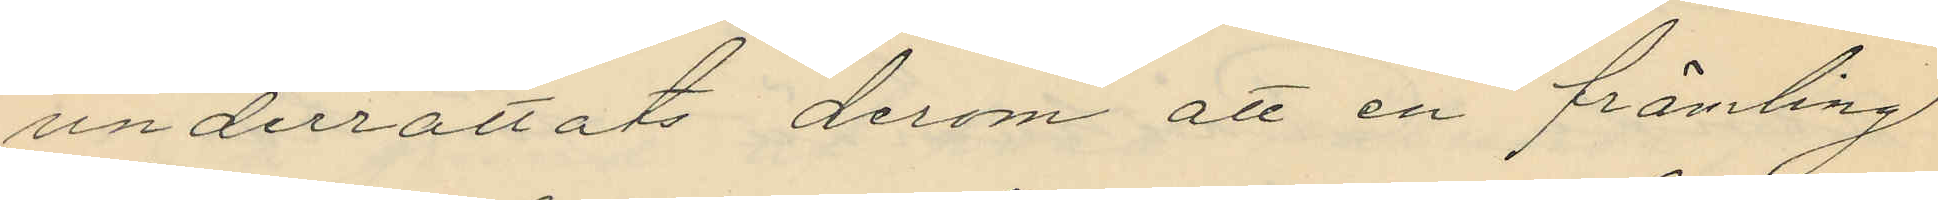underrättats derom att en främling
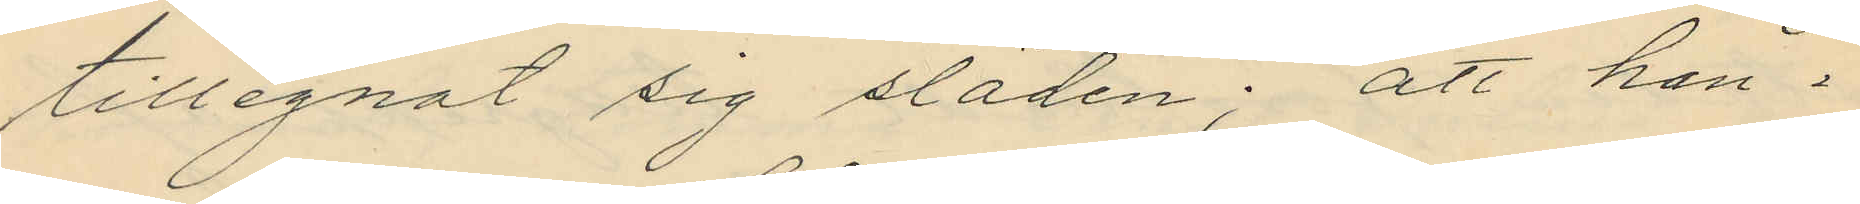tillegnat sig släden; att han i
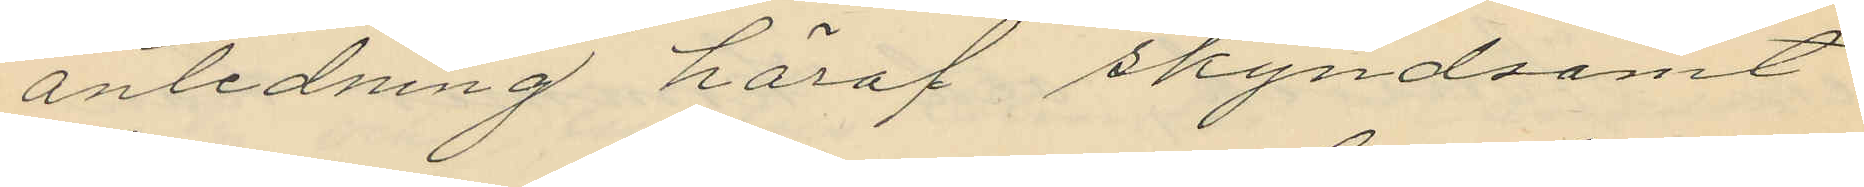anledning häraf skyndsamt
